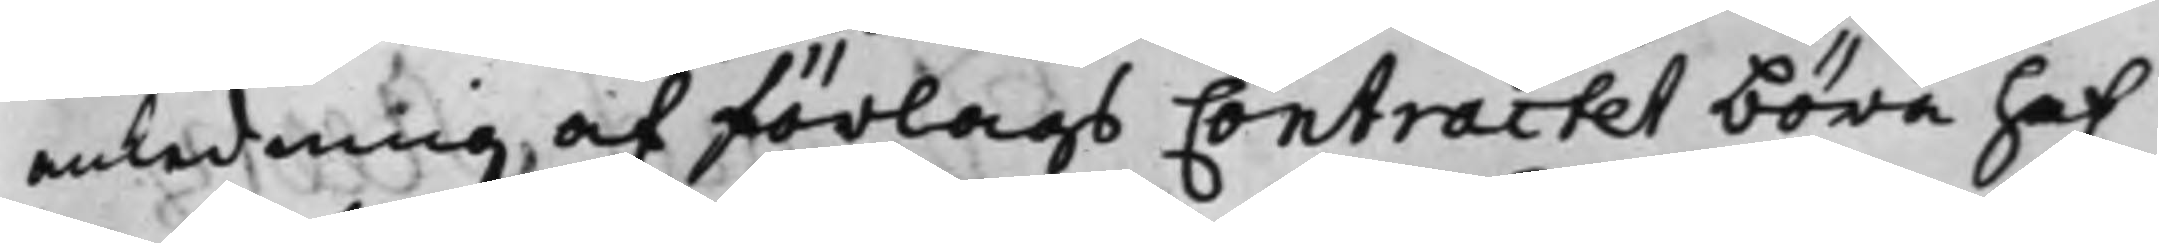anledning af förlags Contractet böra haf¬
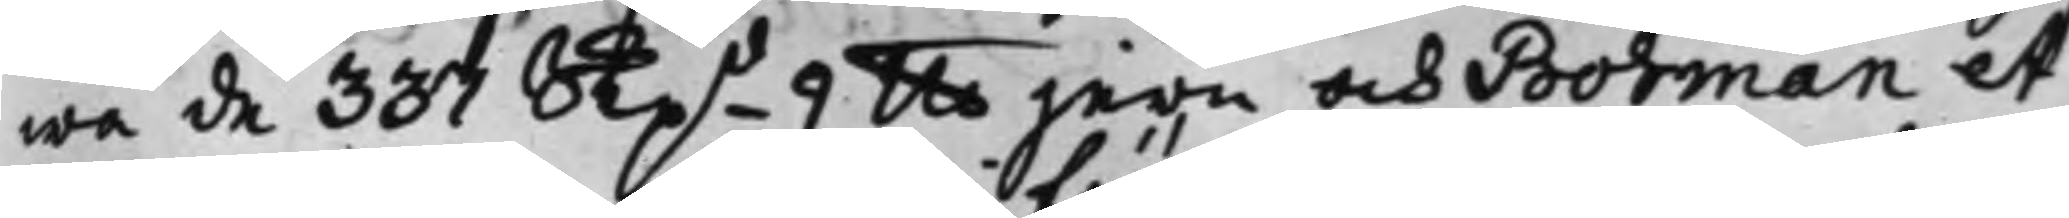wa de 337 Skpd 9 llb jern och Bohman et
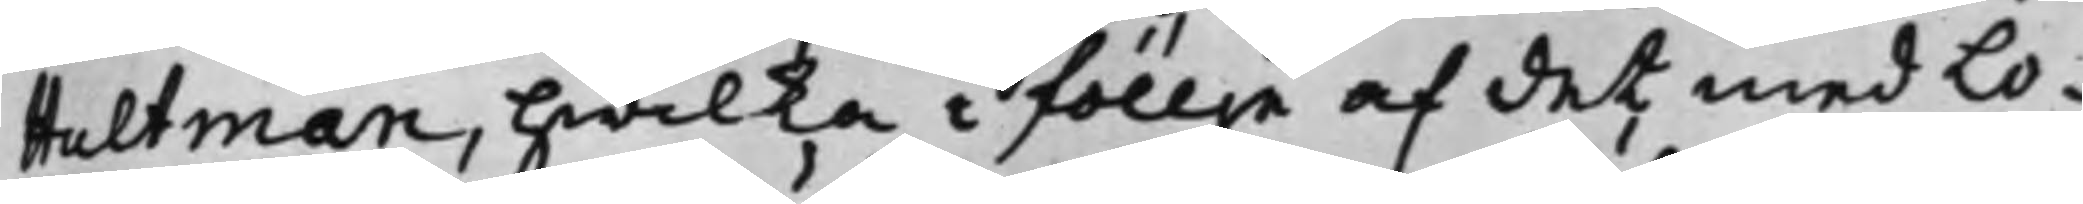Hultman, hwilka i föllje af det med Lo¬
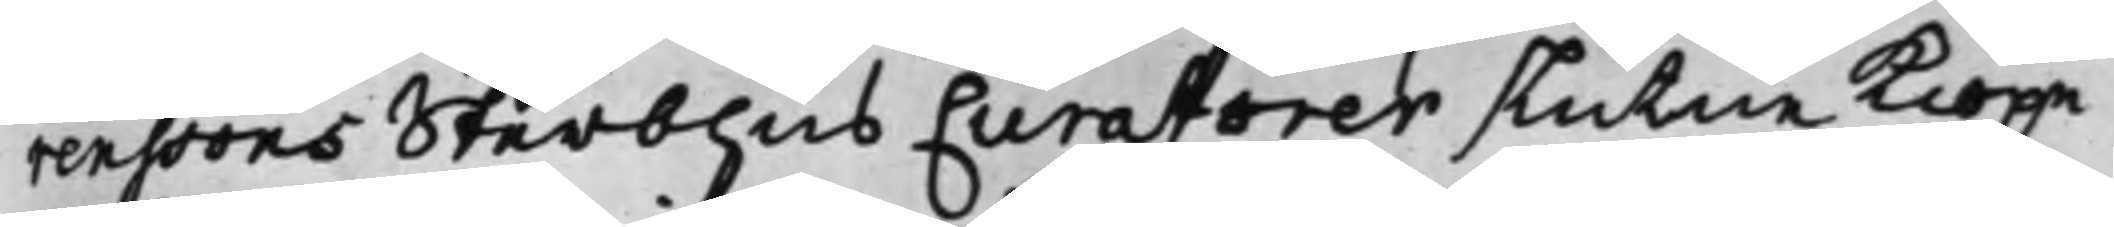renssons Sterbhus Curatorer slutne Kiöpe¬
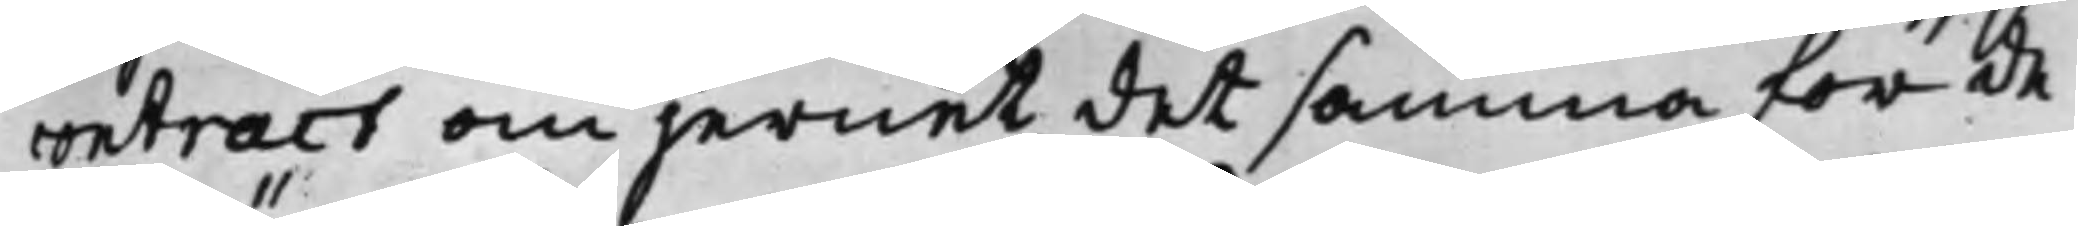contract om jernet det samma för de¬
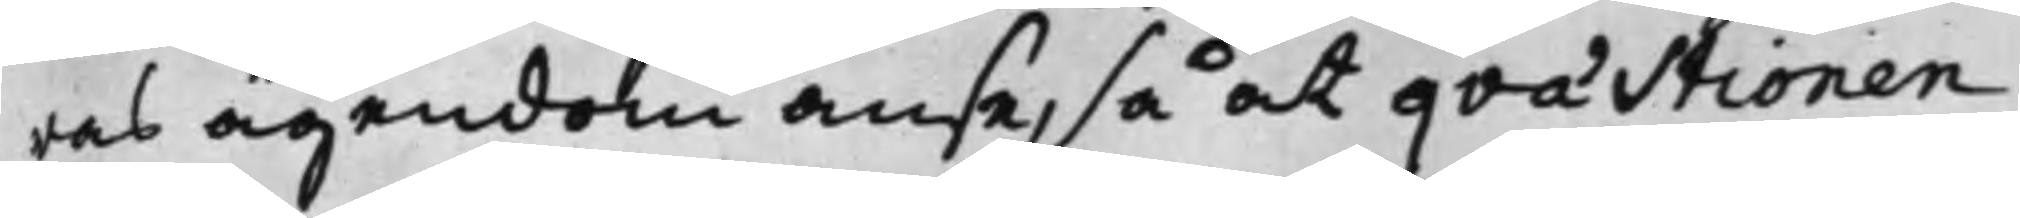ras ägendom anse, så at qvästionen,
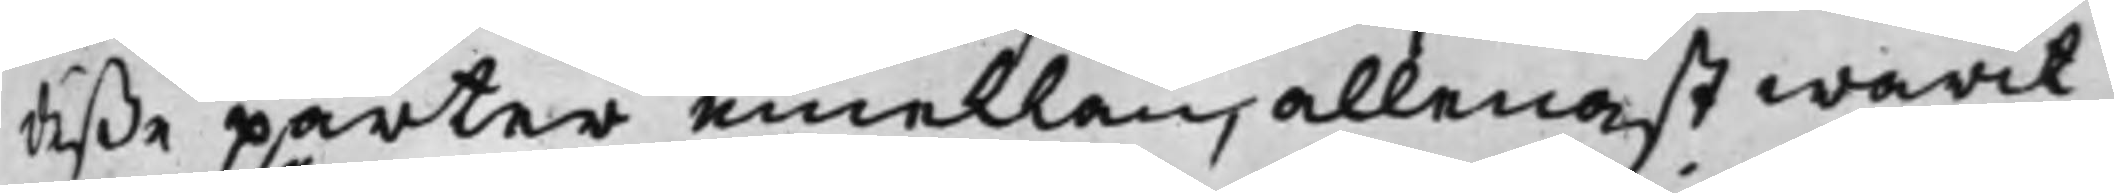deße parter emellan, allenast warit
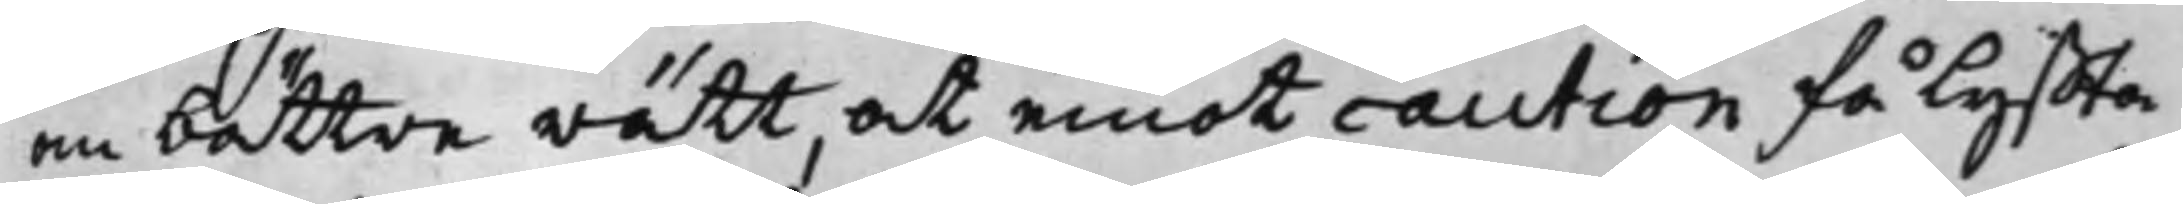en bättre rätt, at emot caution få lyffta
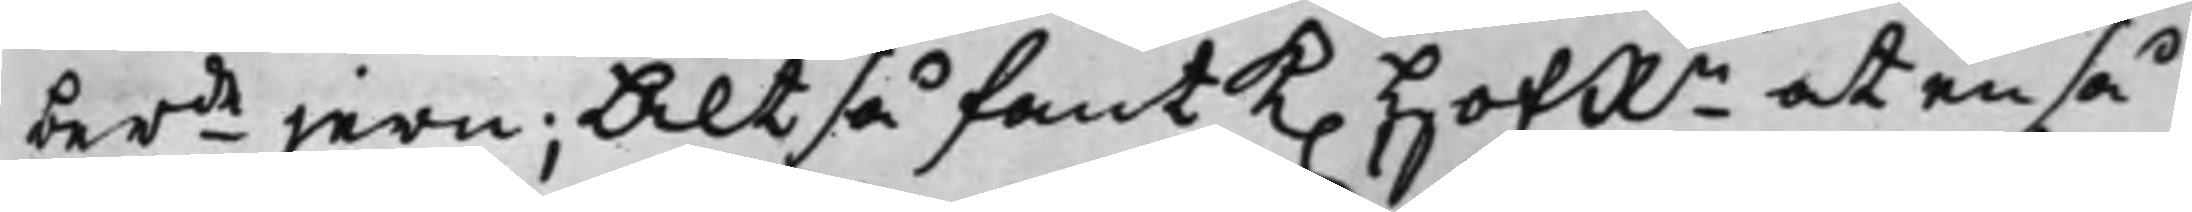berde jern; Altså fant K. HofRn at en så
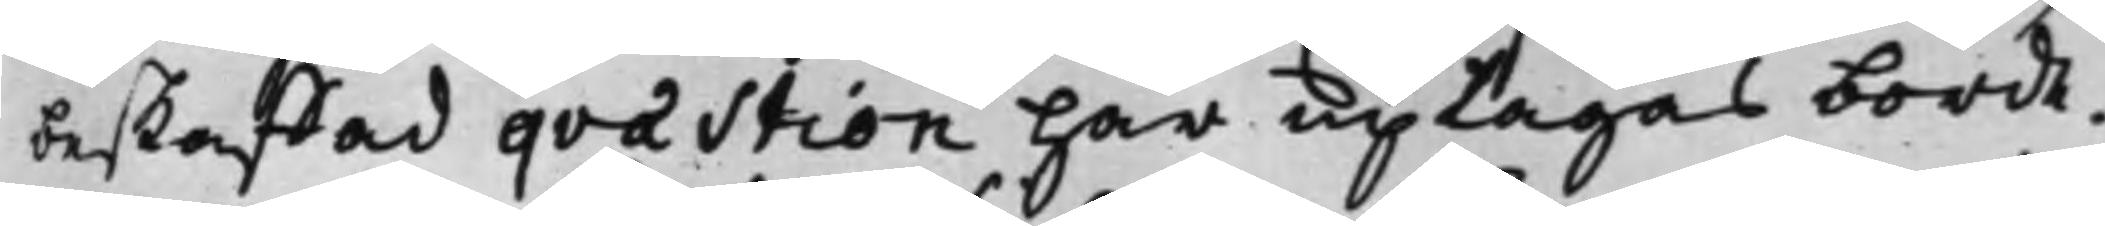beskaffad qvæstion Här uptagas borde.
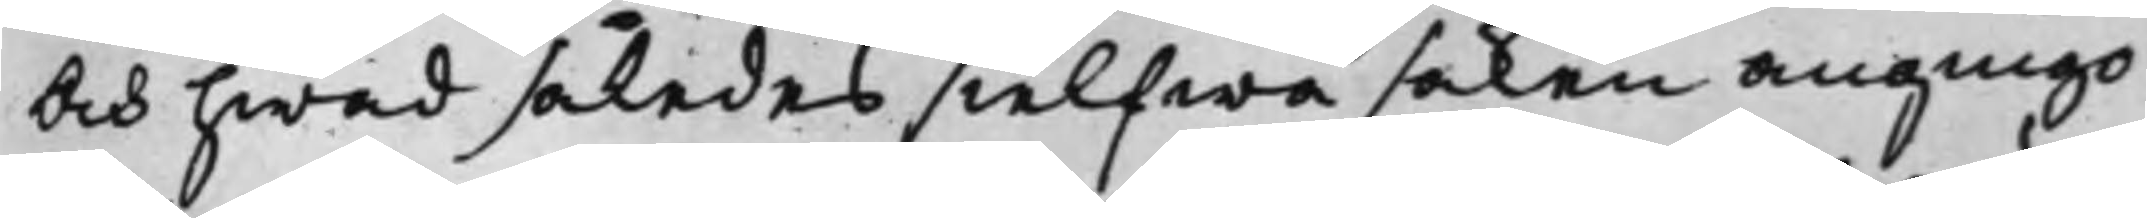Och hwad således sielfwa saken angingo
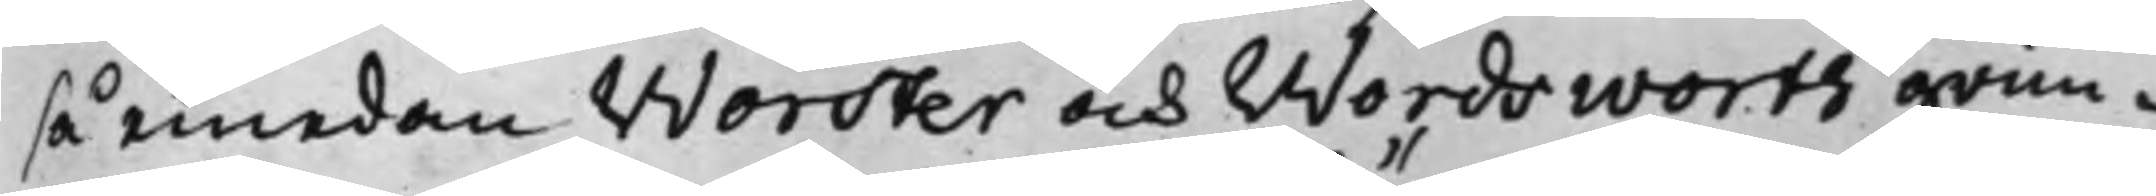så emedan Worster och Wordsworth grun¬
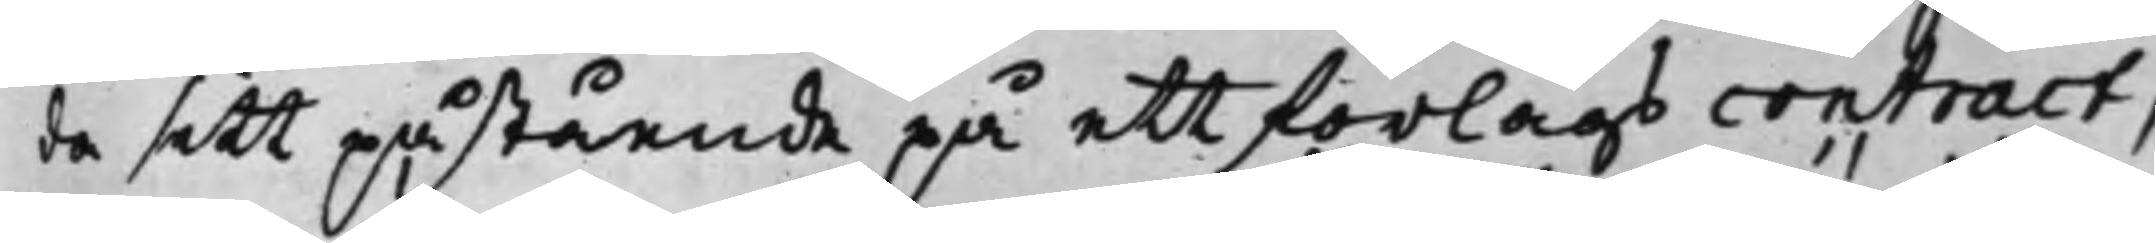da sitt påstående på ett förlags contract,
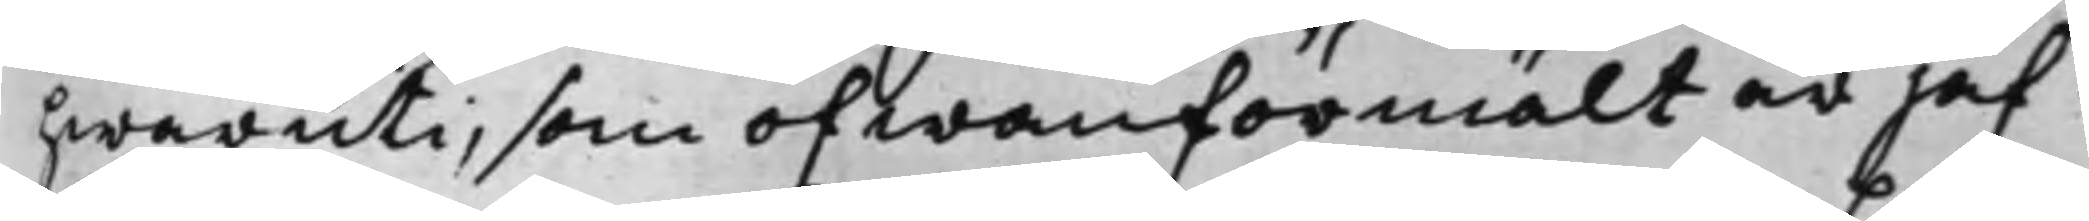hwaruti, som ofwanförmält är jäf
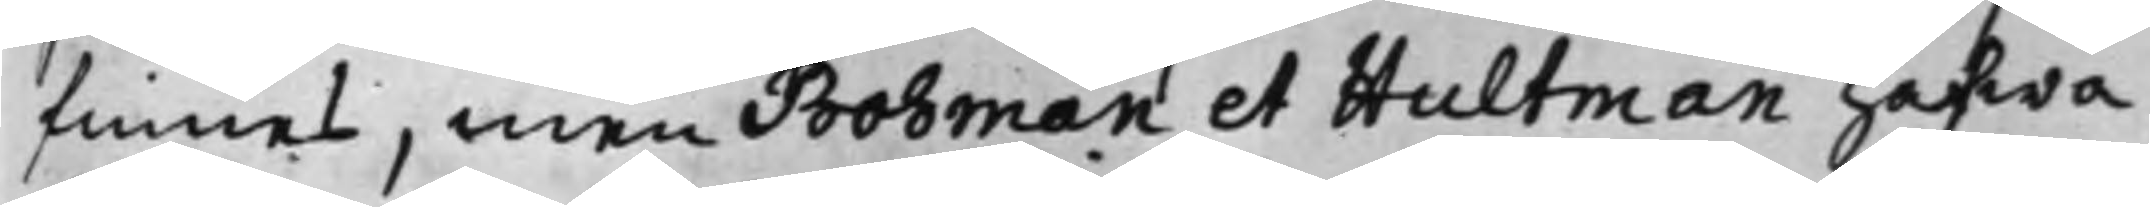finnes, men Bohman et Hultman hafwa
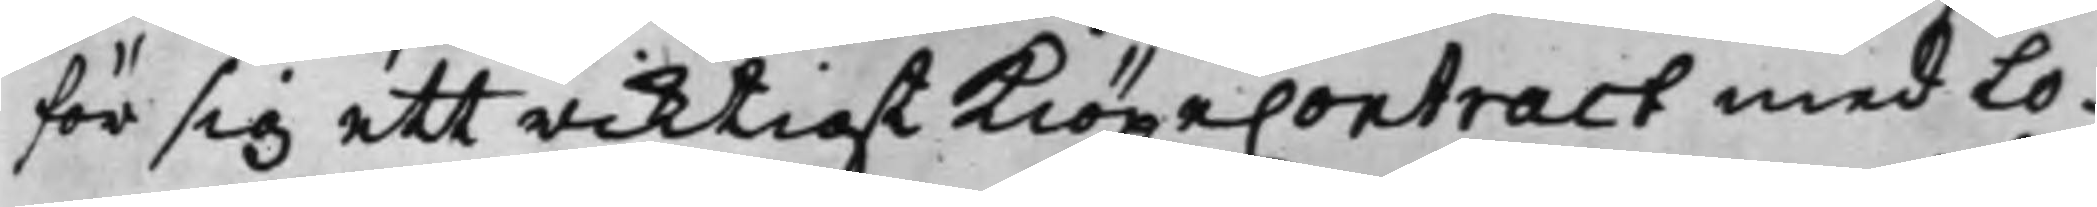för sig ett riktigt KiöpeContract med Lo¬
